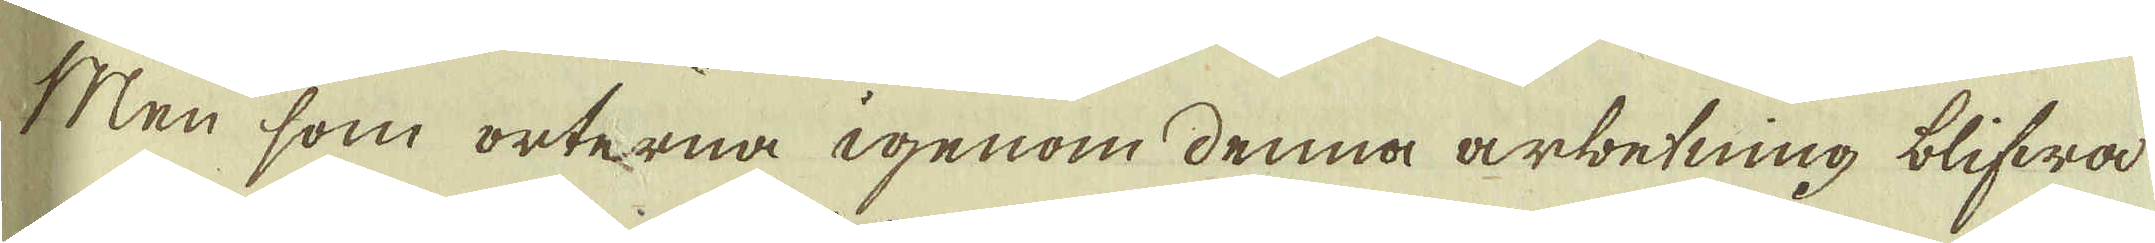Men som orterna igenom denna arbetning blifwa
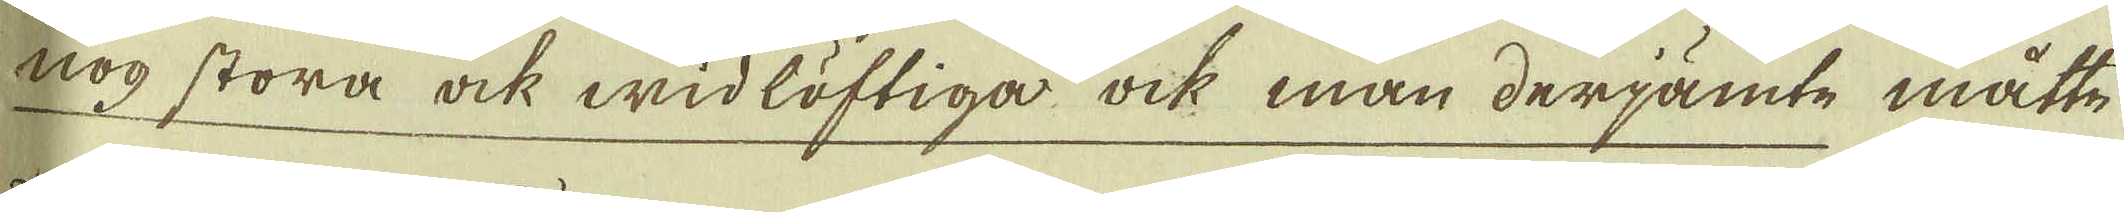nog stora ock widlöftiga ock man derjämte måtte.
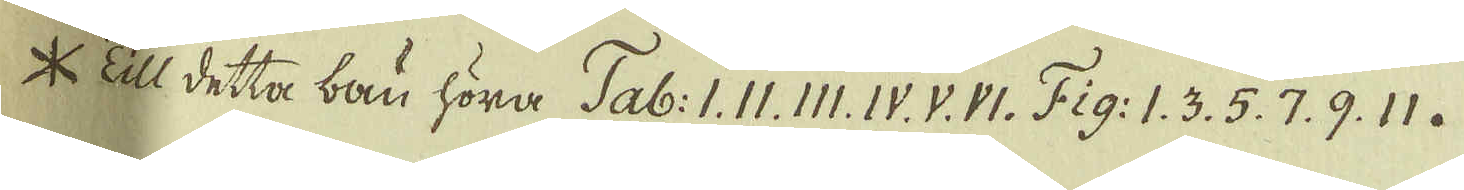* Till detta bau höra Tab: I. II. III. IV. V. VI. Fig: 1. 3. 5. 7. 9. 11.
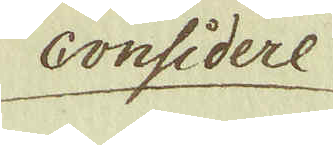Considere
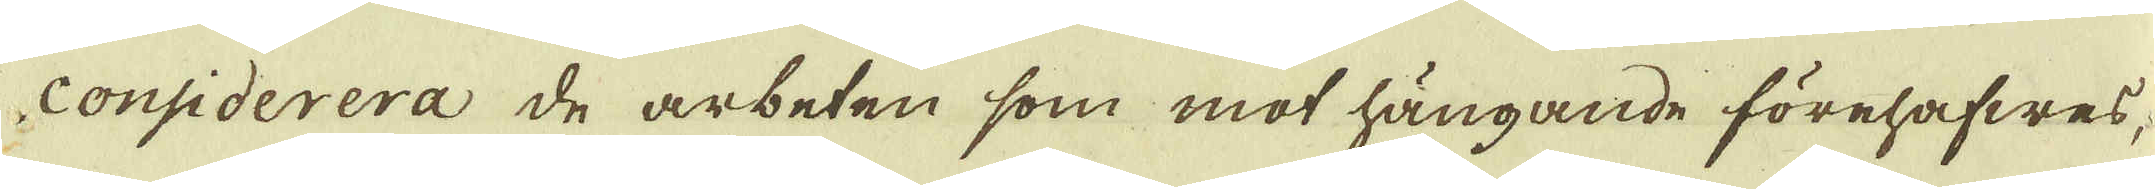considerera de arbeten som mot hängande förehafwas
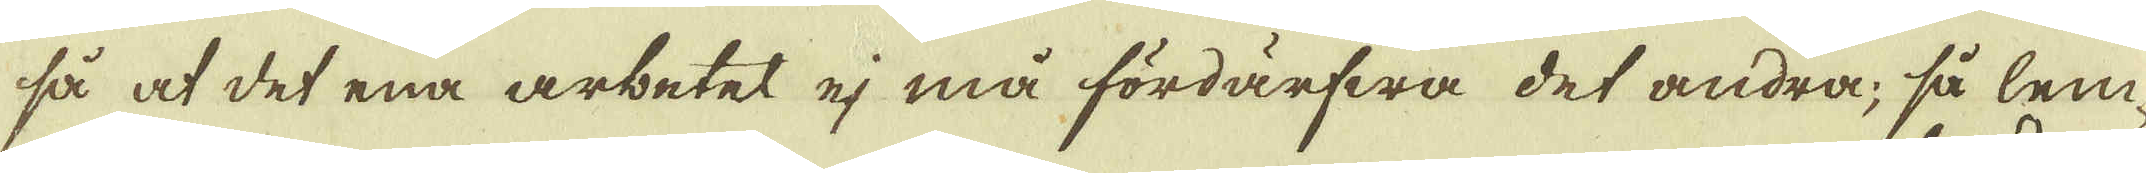så at det ena arbetet ej må fördärfwa det andra, så lem-
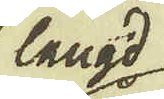längd
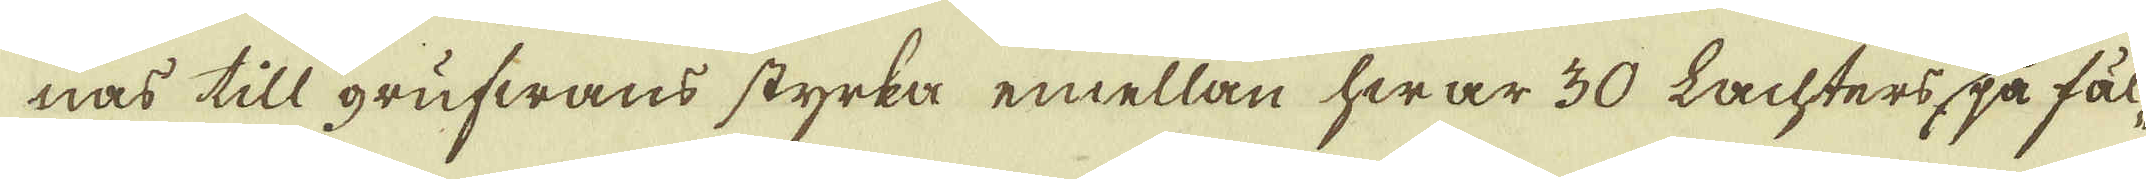nas till grufwans styrka emellan hwar 30 Lachters på fäl-
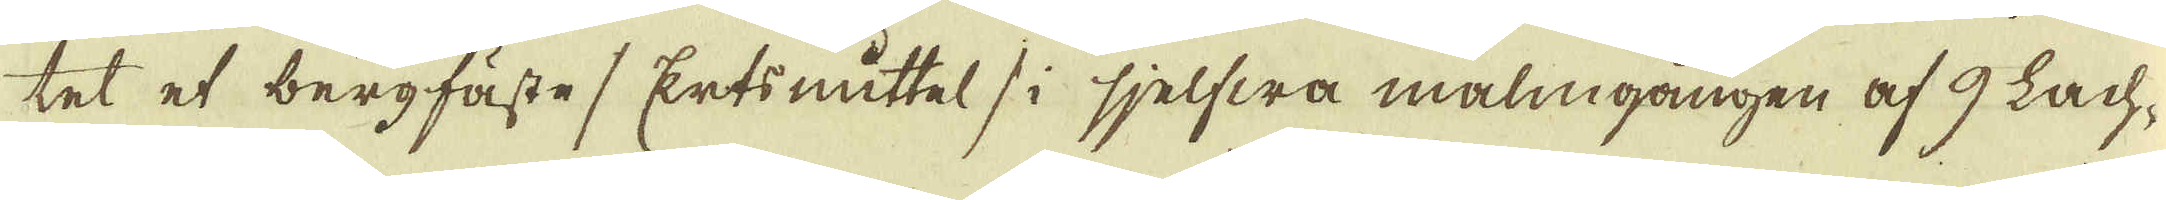tet et bergfäste / Ertsmåttel / i sjelfwa malmgången af 9 Lach-
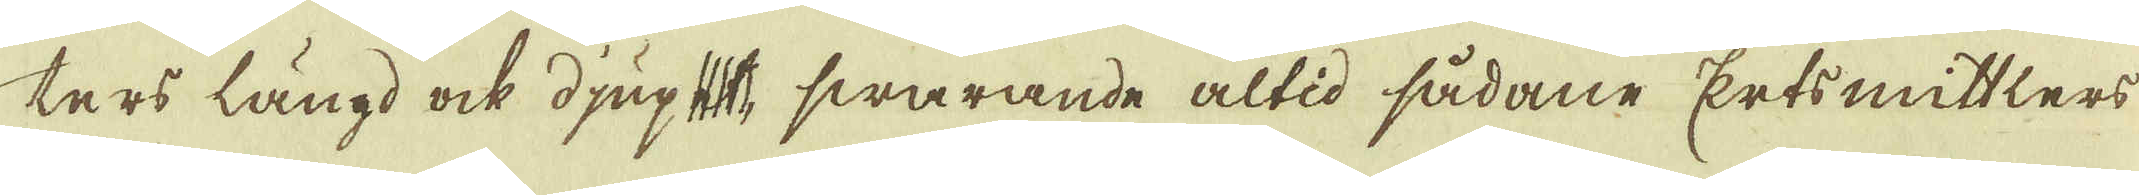ters längd ock djupet, swarande altid sådane Ertsmittlers
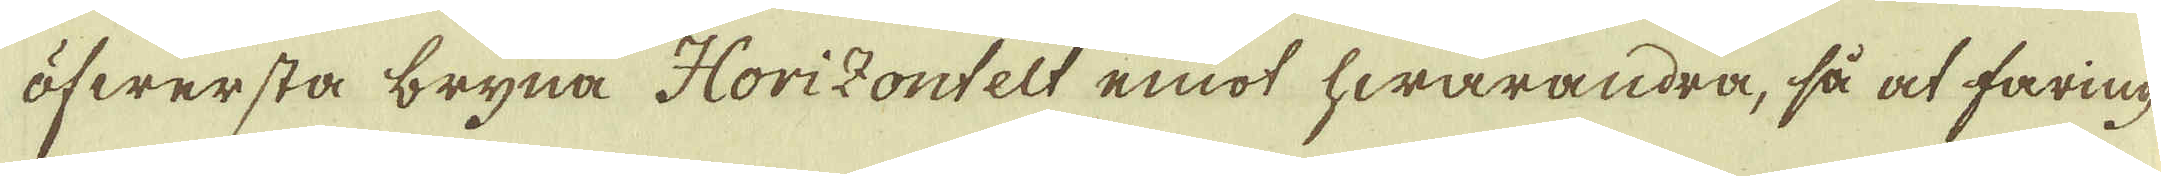öfwersta bryna Horizontelt emot hwarandra, så at faring
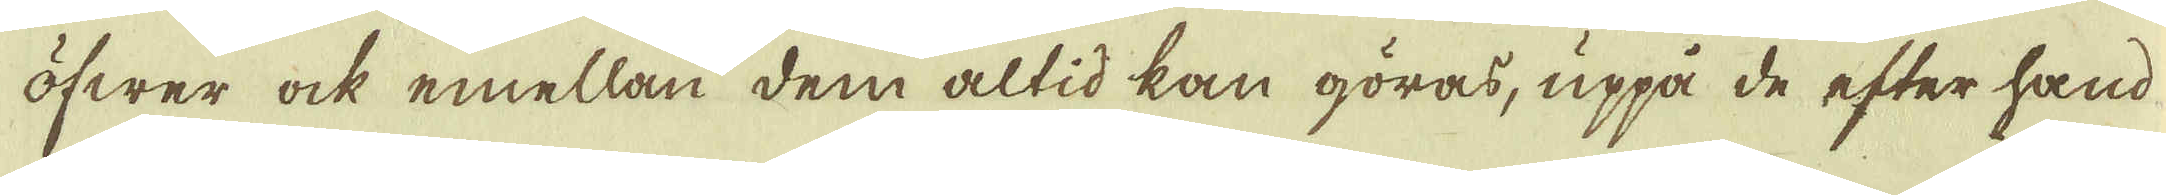öfwer ock emellan dem altid kan göras, uppå de efter hand
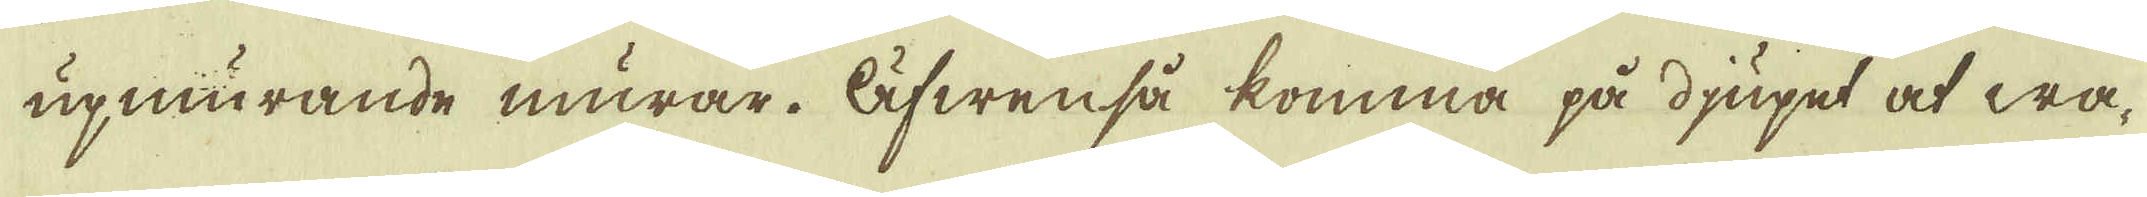upmurande murar. Äfwen så komma på djupet at wa-
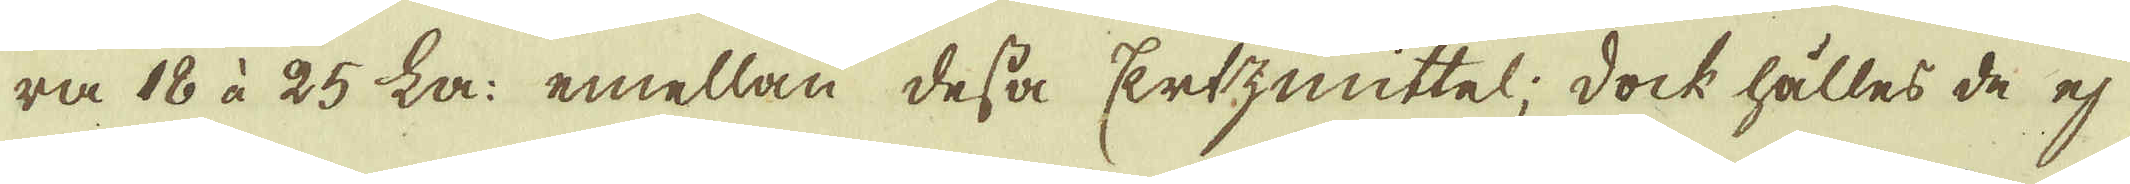ra 18 à 25 La: emellan desas Erzmittel; dock hålles de ej
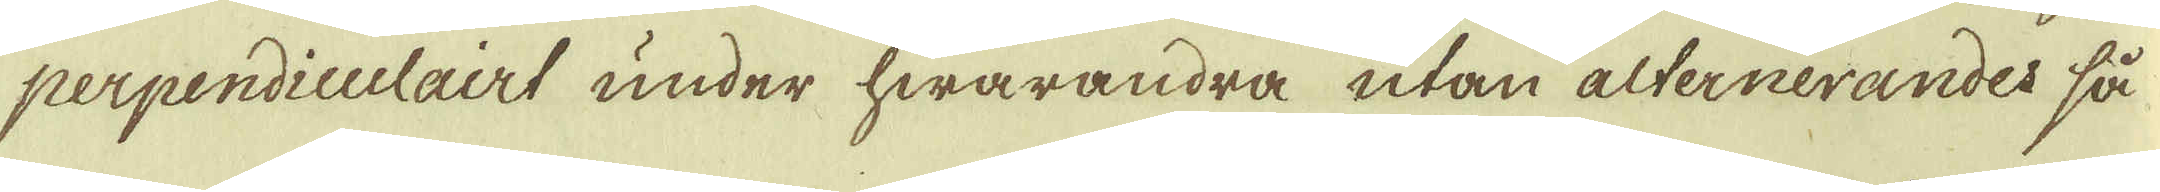perpendiculairt under hwarandra utan alternerandes så
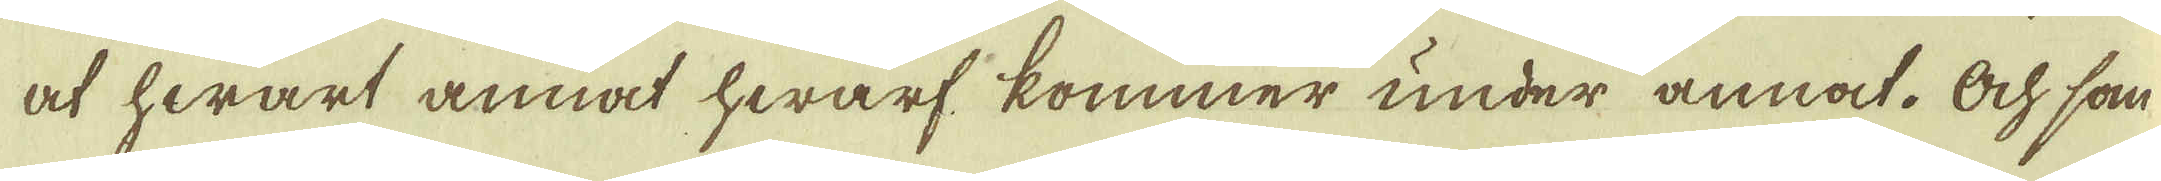at hwart annat hwarf kommer under annat. Ock som
